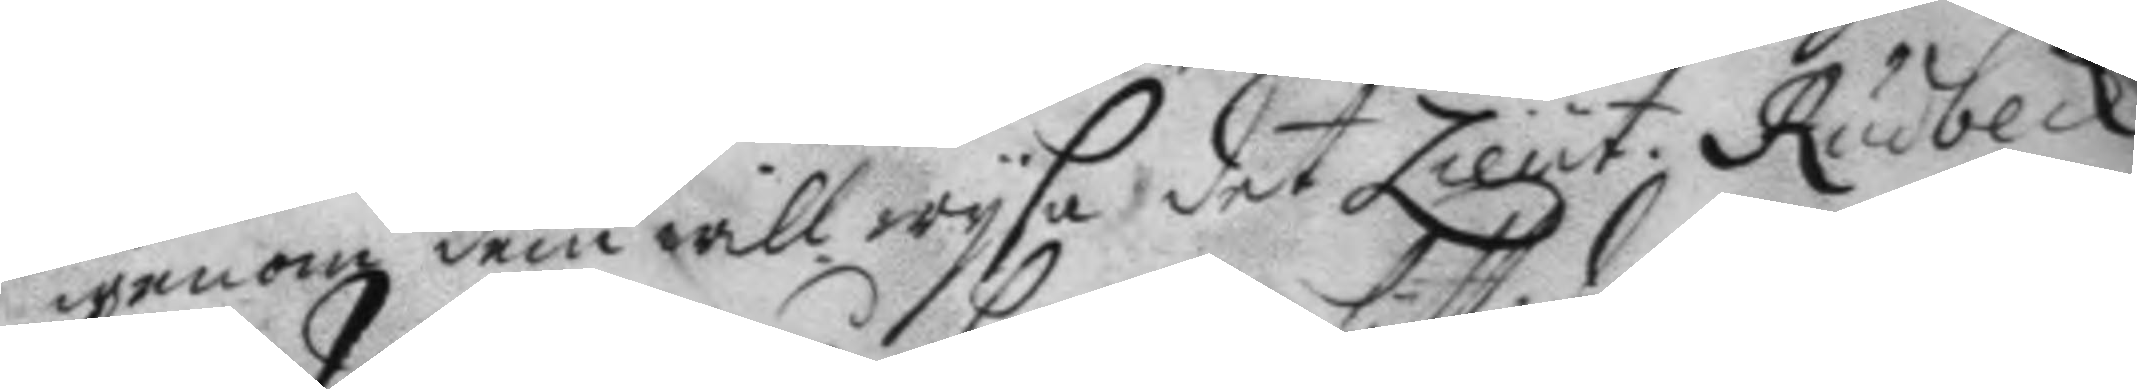igenom dem will wysa det Lieut. Rudbeck 
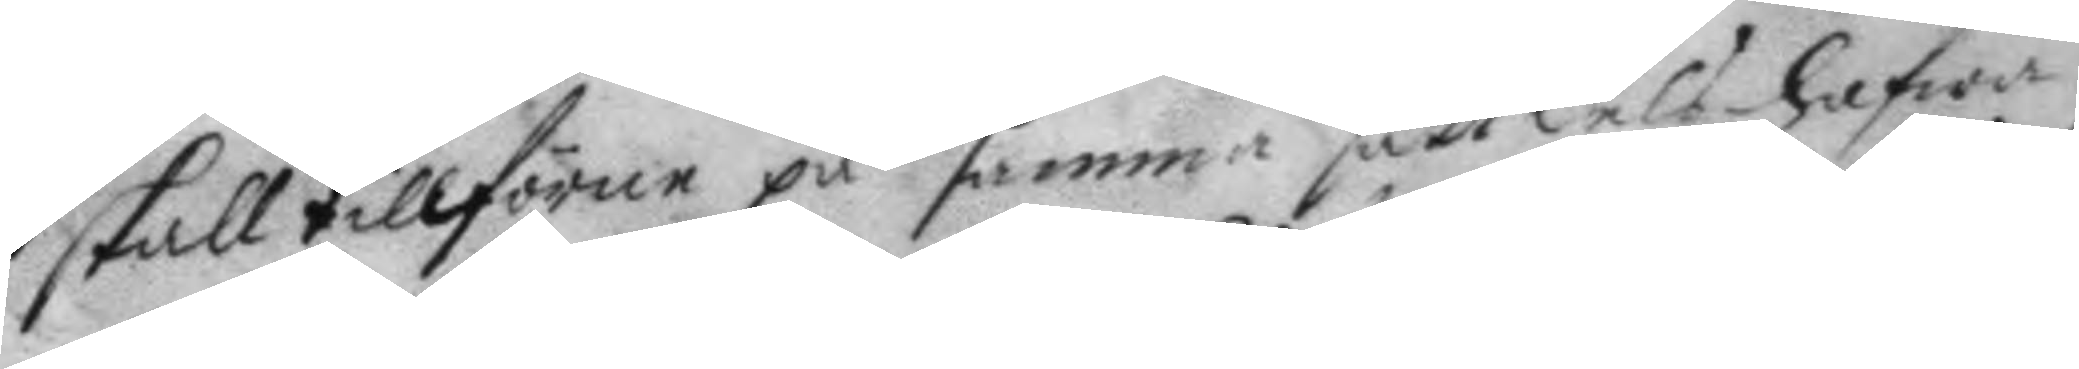skall tillförne på samma satt dels hafwa
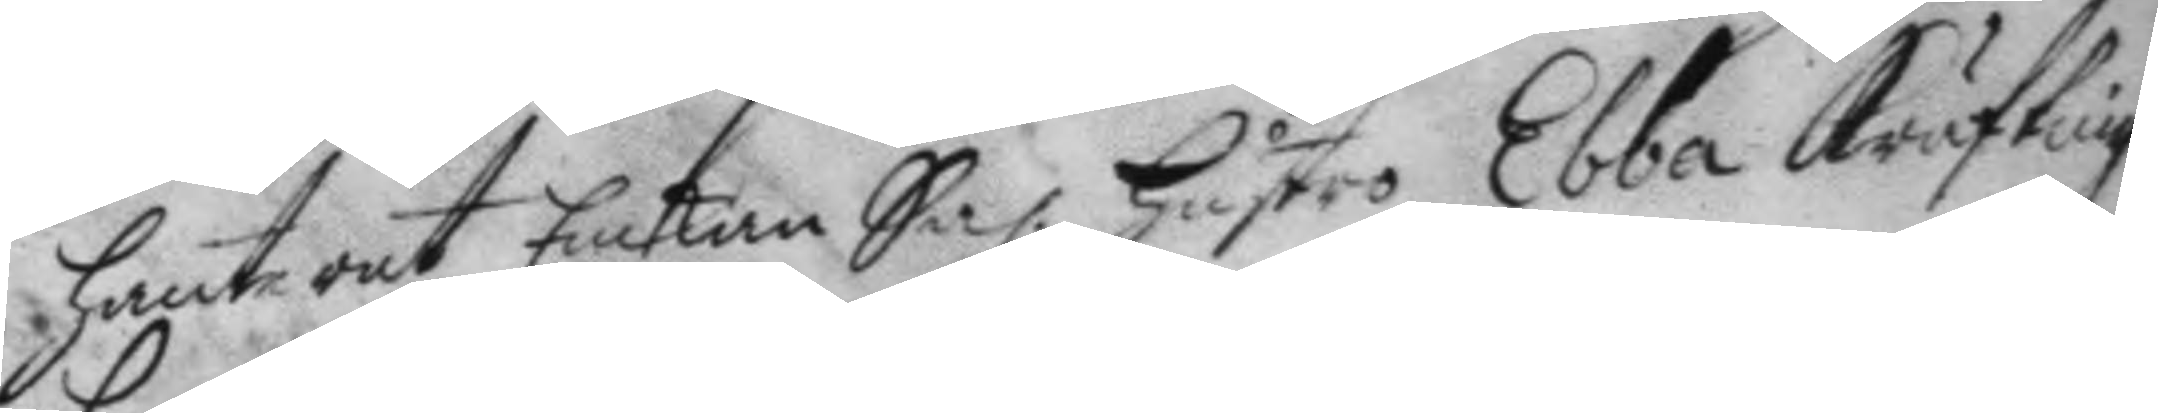hante rat Enkan Sal: Hustro Ebba Krufling
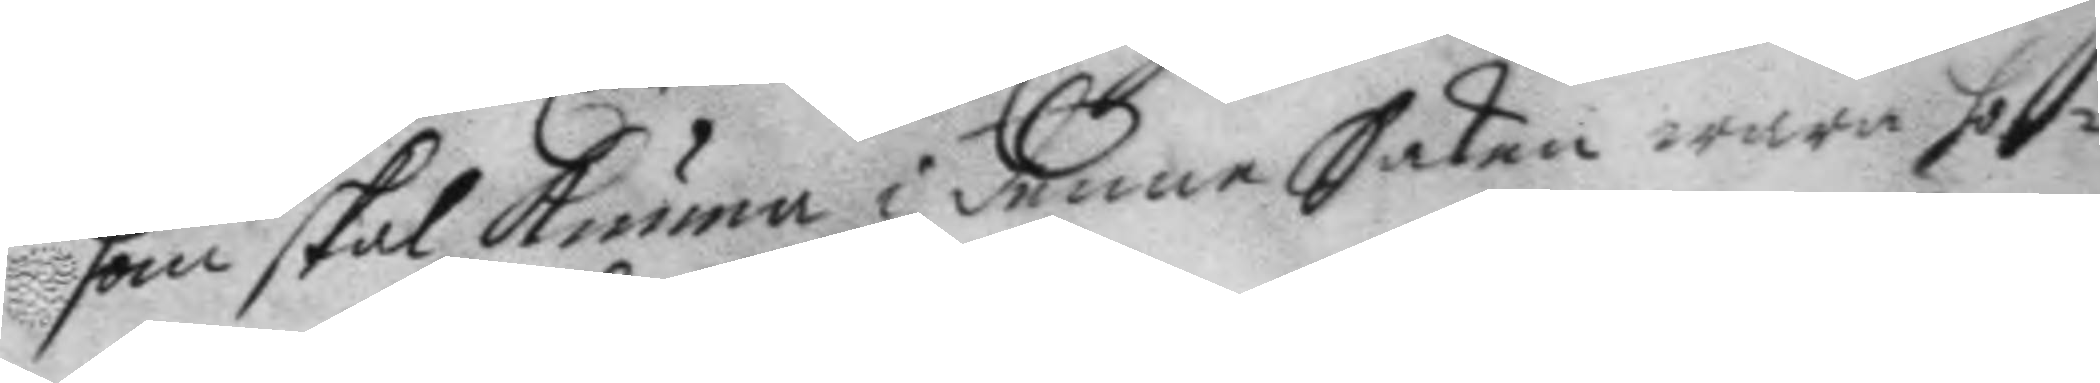som skal Kunna i denne Saken wara ho¬
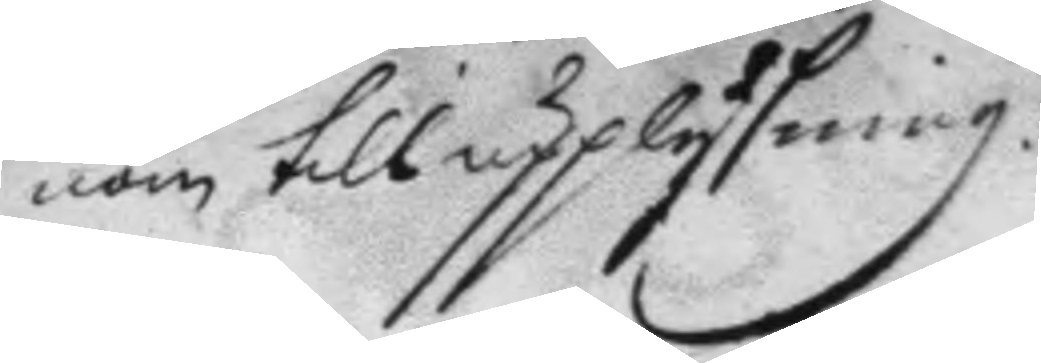nom till upplysning.
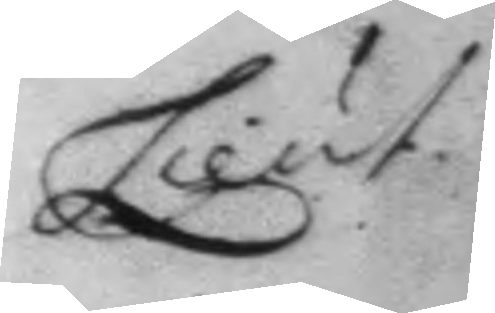Lieut.
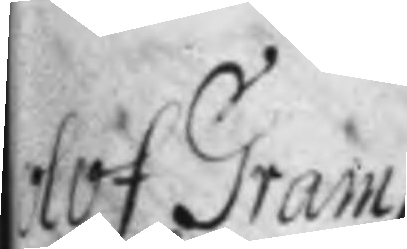Olof Gram
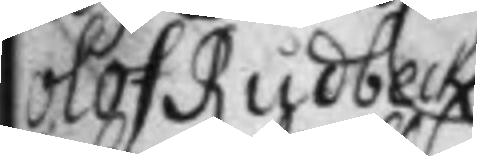Olof Rudbeck
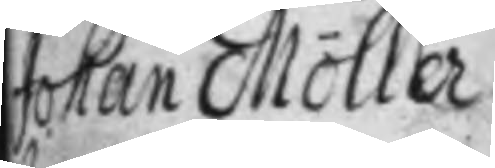Johan Möller
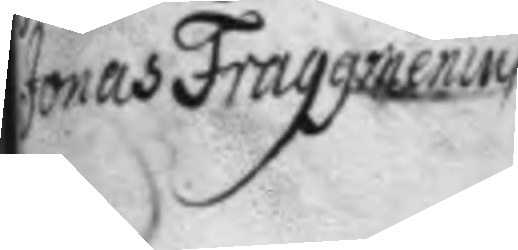Jonas Frangginenius
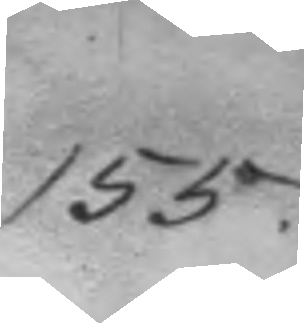155.
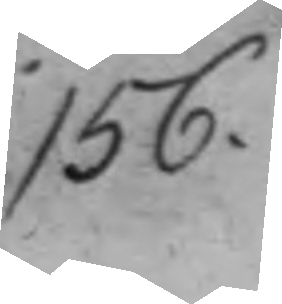156.
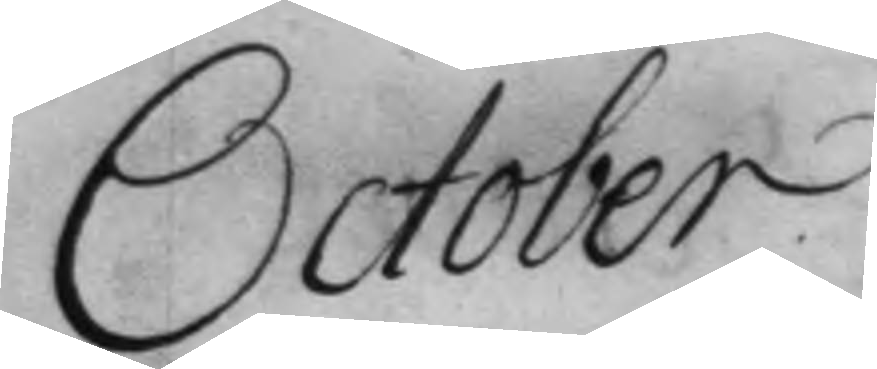October.
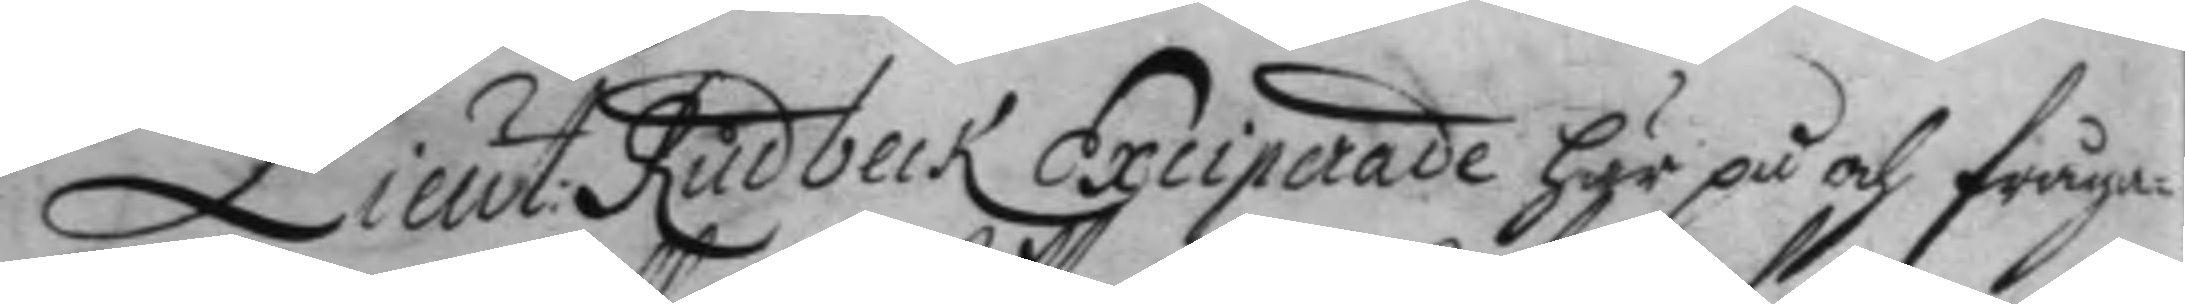Lieut: Rudbeck Exciperade här på och fråga¬
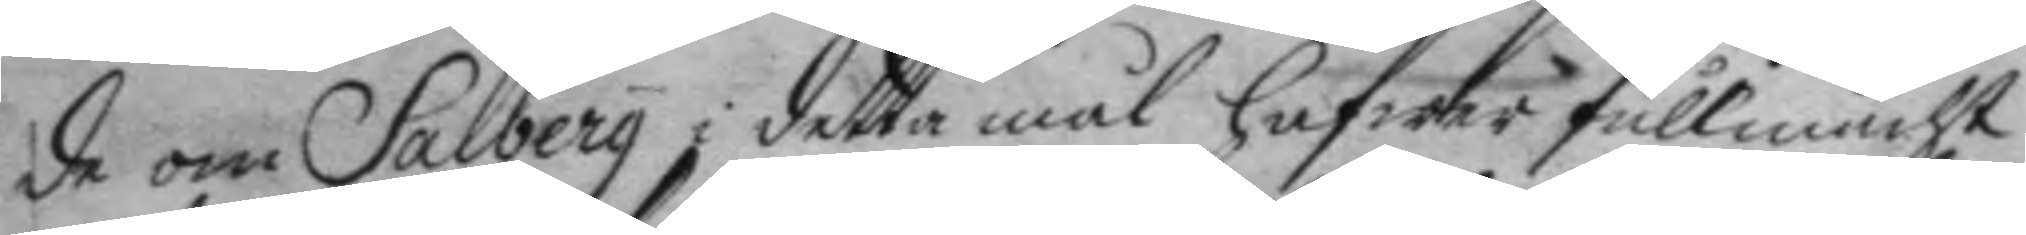de om Salberg i detta mål hafwer fullmacht
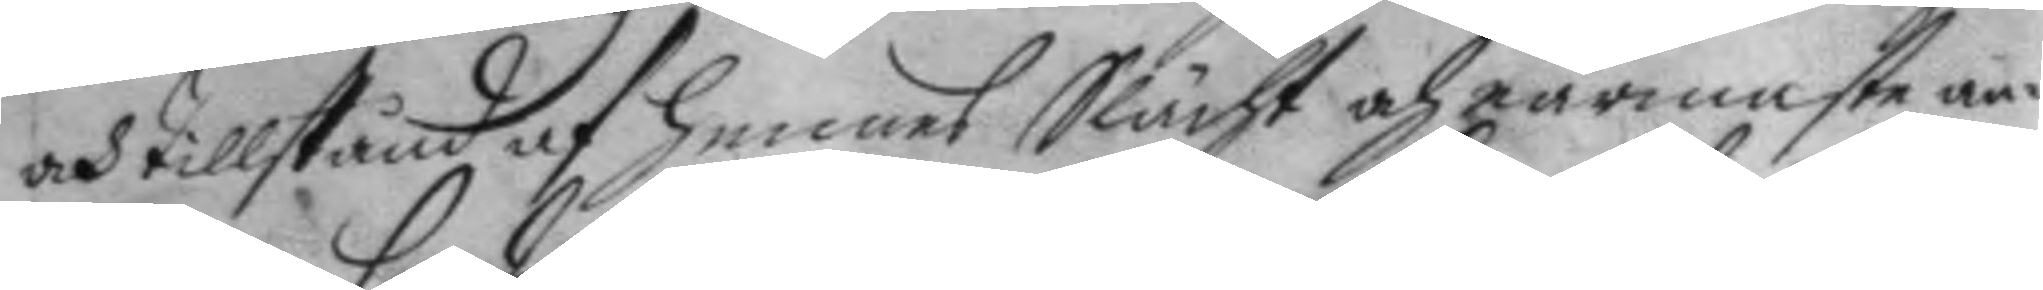och tillstånd af hennes Slächt och närmaste an¬
